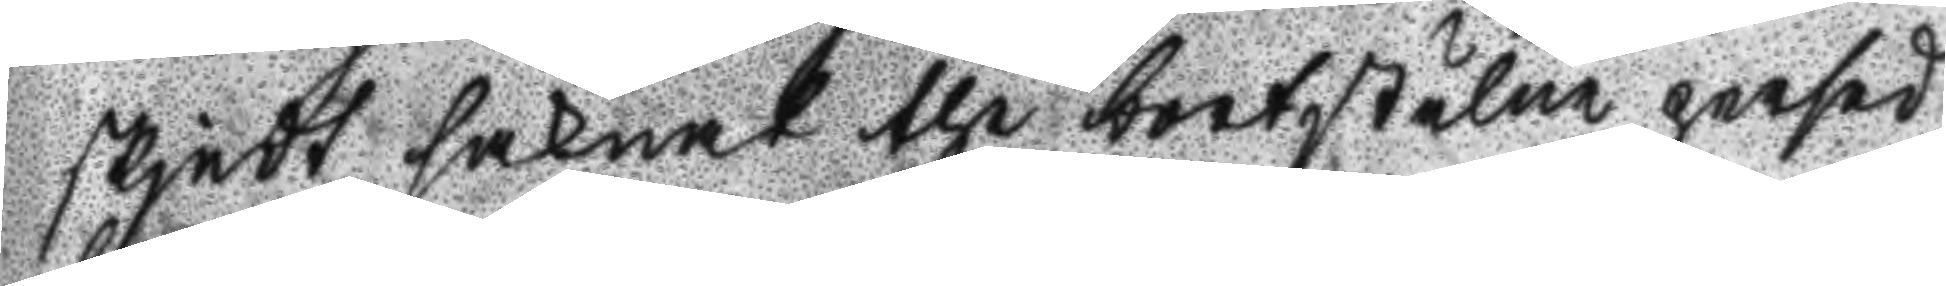skjedt saknat the bortstulne persed
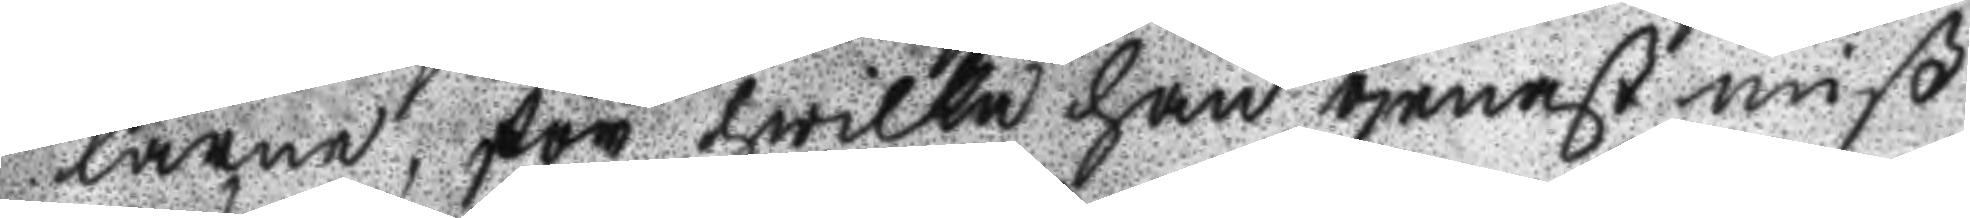larne, för hwilka han genast miß
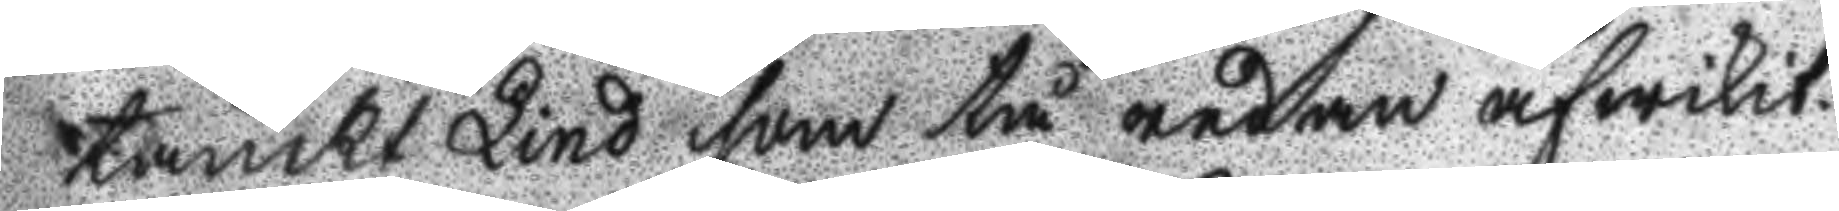tänckt Lind som tå redan afwikit.
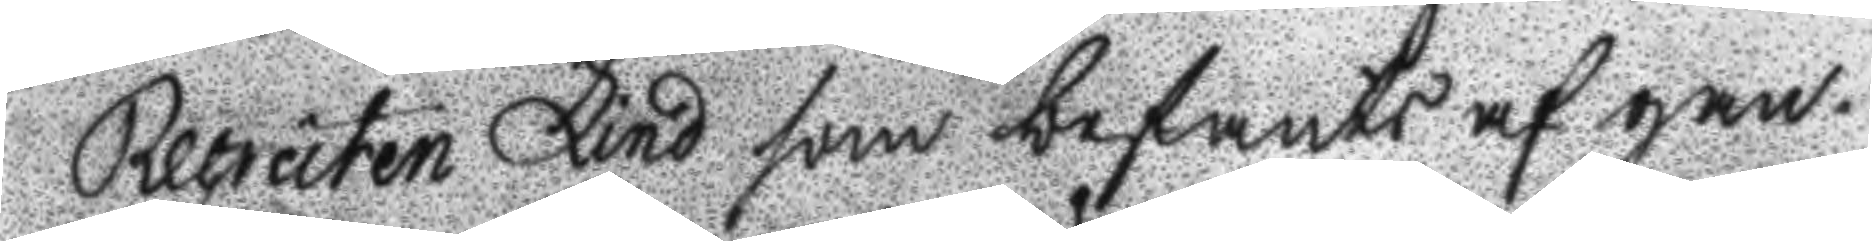Recruten Lind som befants af gan¬
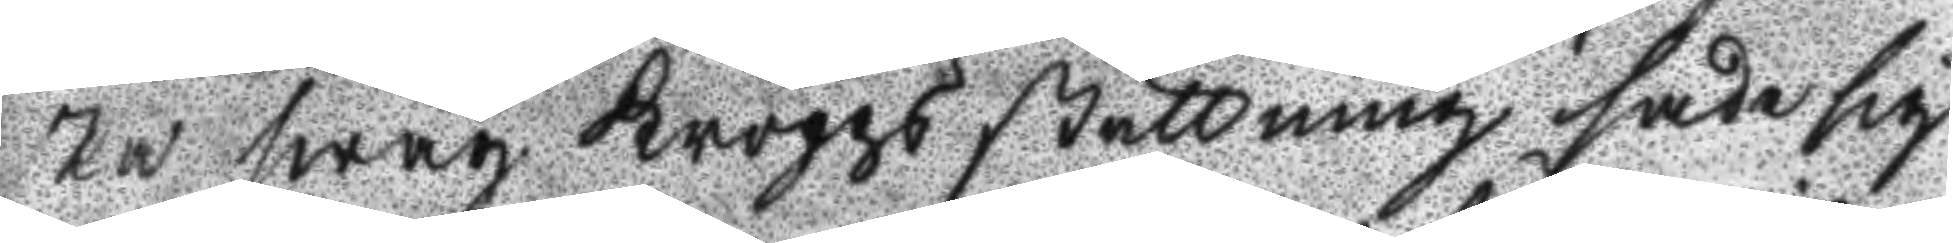ska swag Kroppsställning sade sig
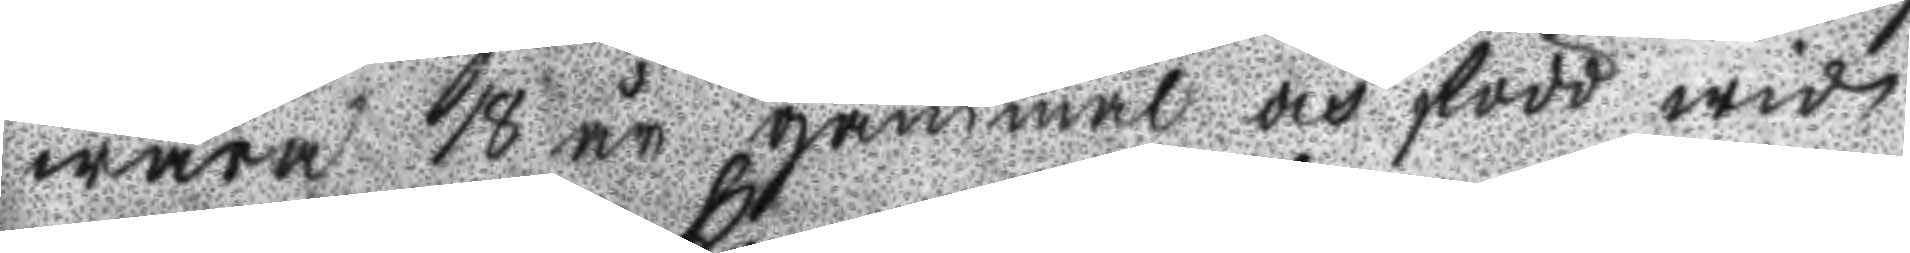wara 18 år gammal och född wid
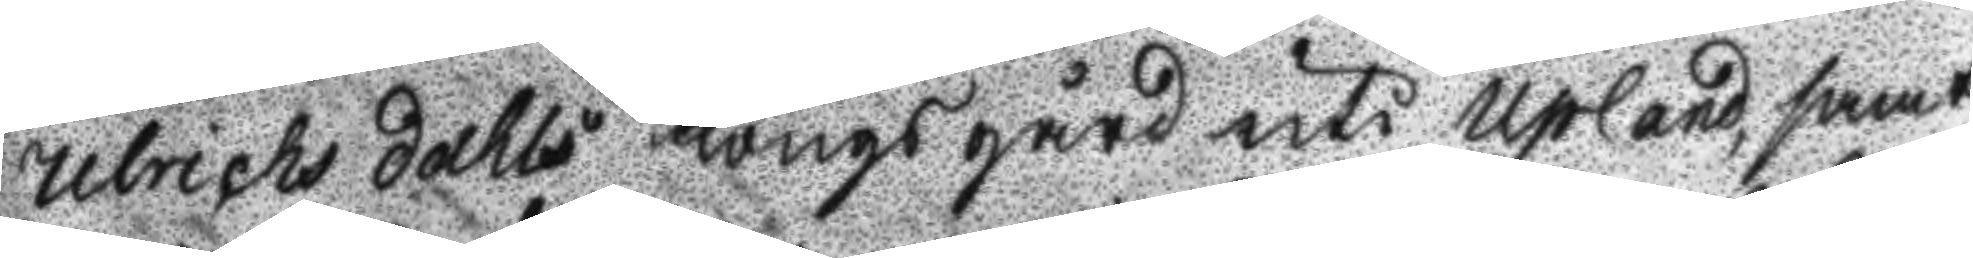Ulrichs dahls Kongsgård uti Upland, samt
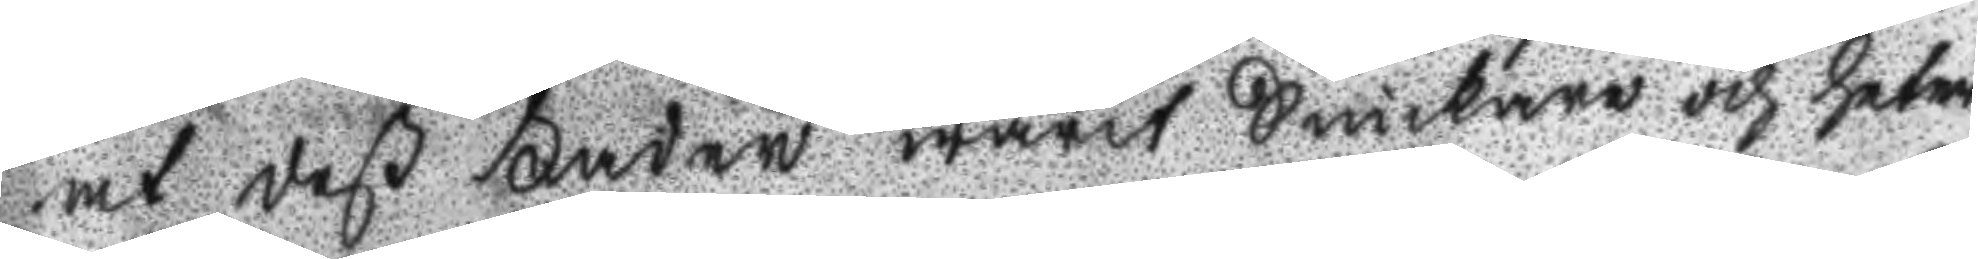at deß Fader warit Snickare och heter
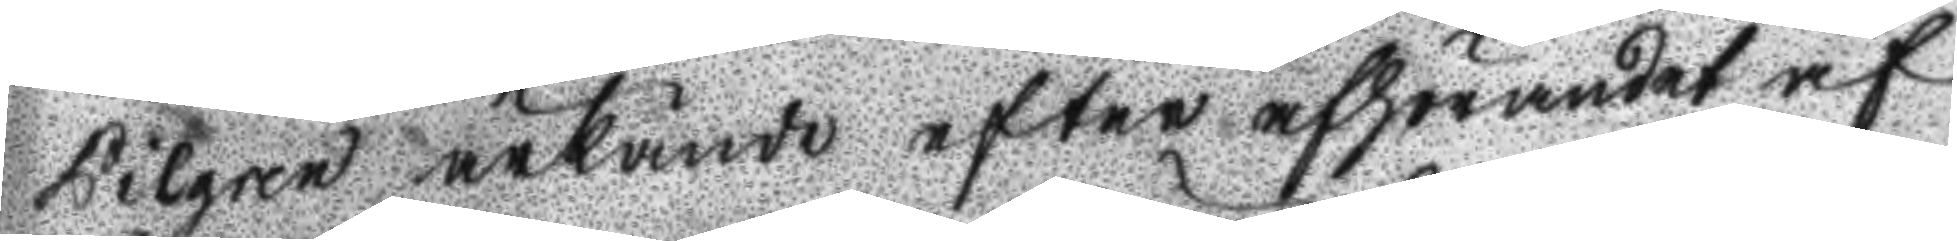Pilgren ärkände efter afhörandet af
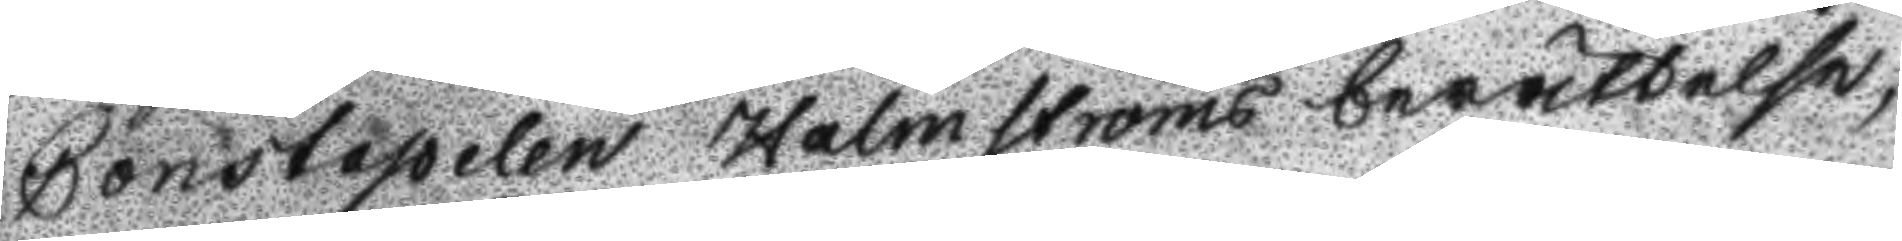Constapelen Holmströms berättelse,
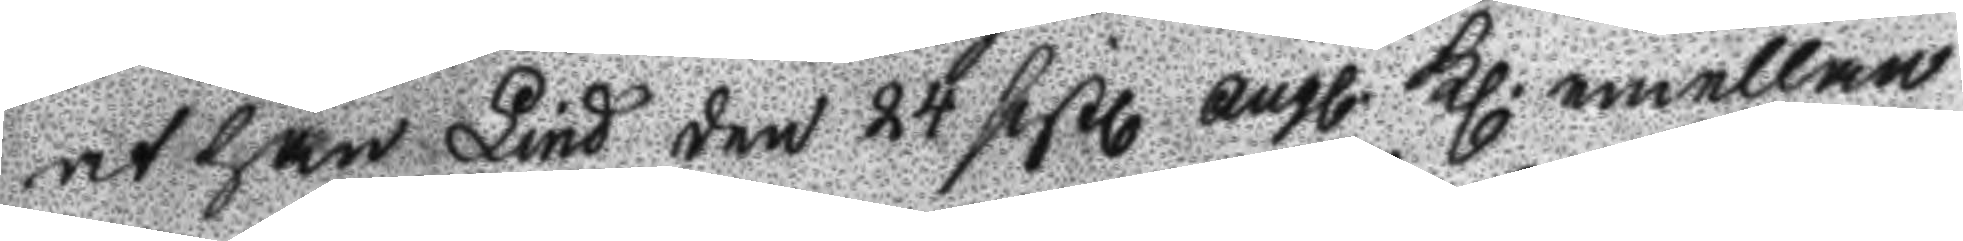at han Lind den 24 sistl. augl. Kl. emellan
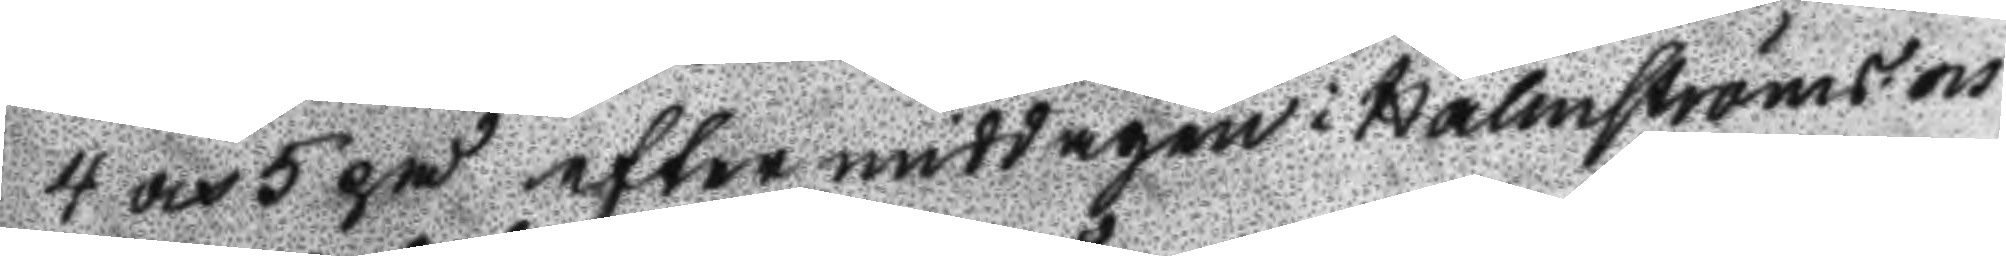4 och 5 på eftermiddagen i Holmströms och
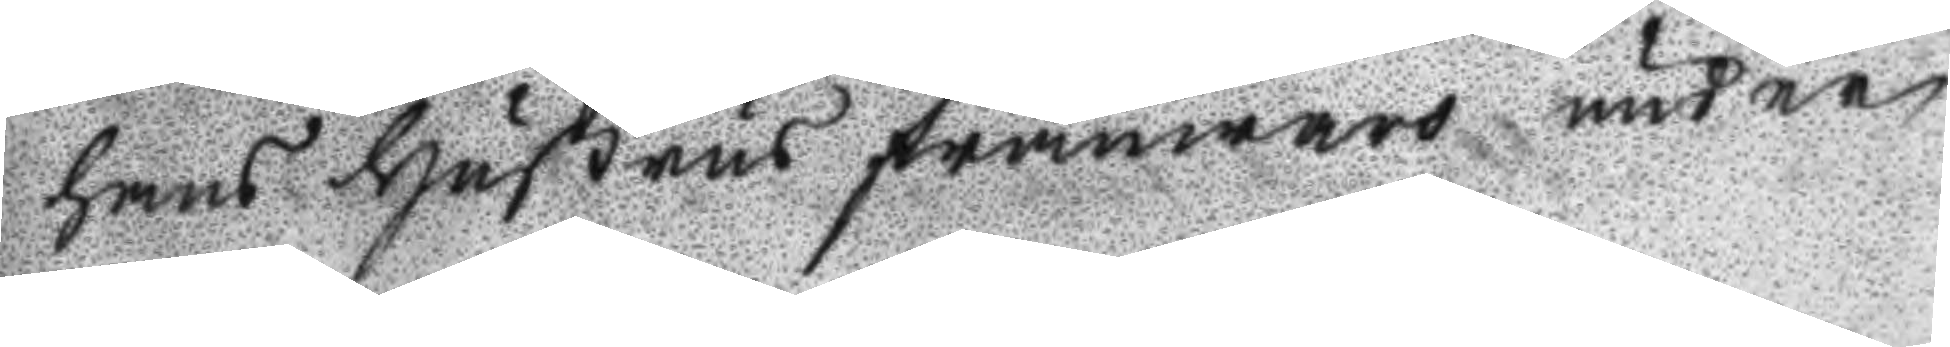hans Hustrus frånwaro under
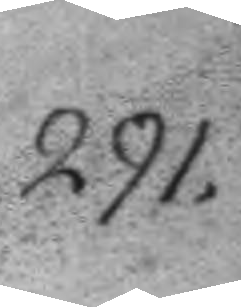291.
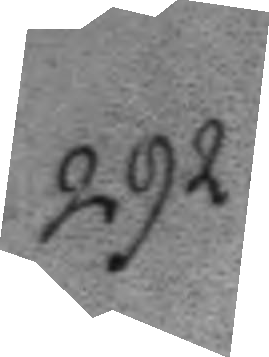292.
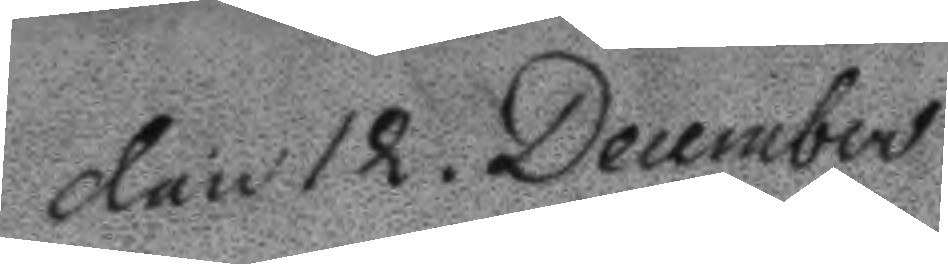Den 12. december
